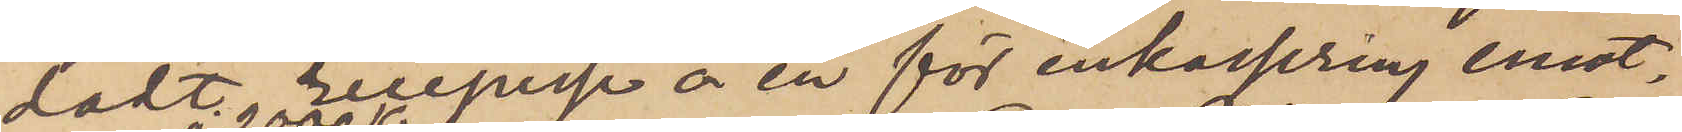dadt resepiese å en för inkassering emot¬
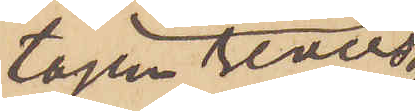tagen revers
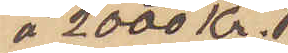á 2000 Kr.
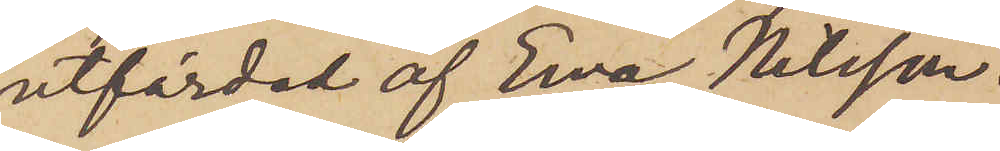utfärdad af Eva Nilsson.
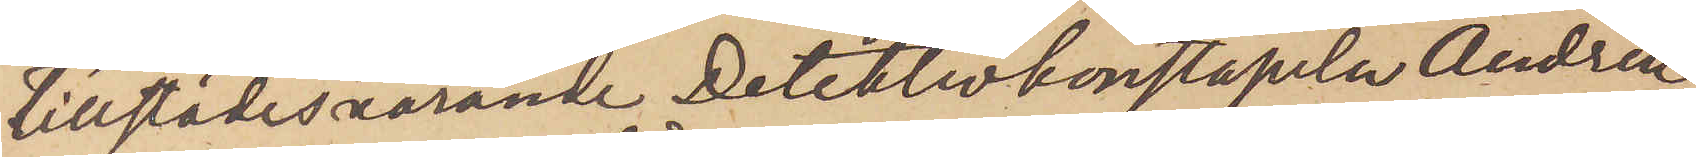Tillstädesvarande Detektivkonstapeln Andrén,
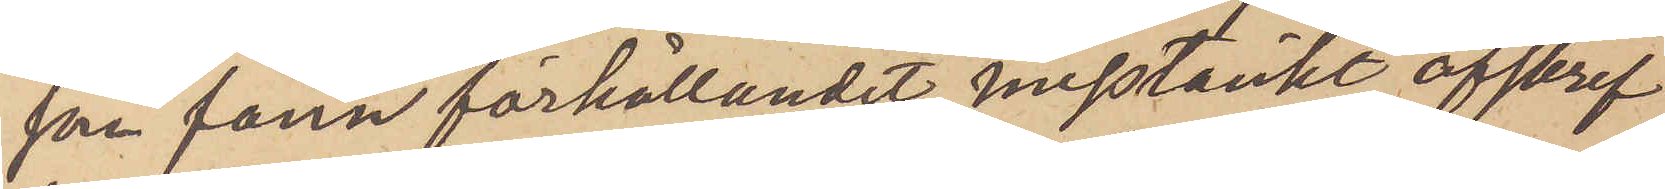som fann förhållandet misstänkt afskref
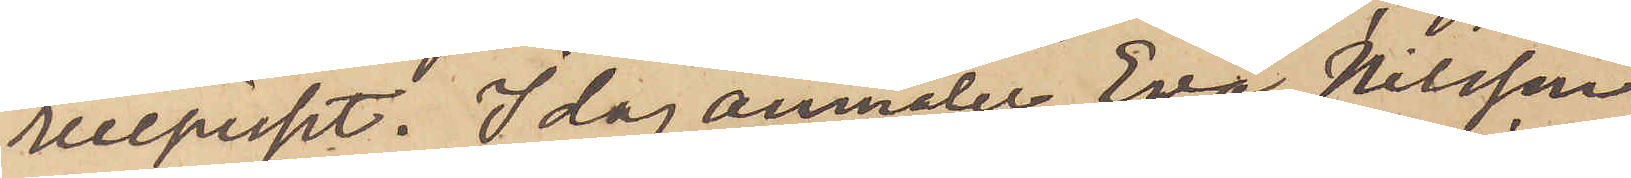recepieset. Idag anmäler Eva Nilsson,
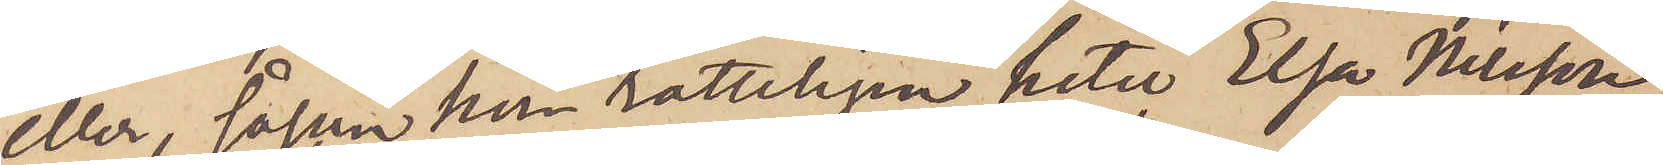eller, såsom hon rätteligen heter Elsa Nilsson,
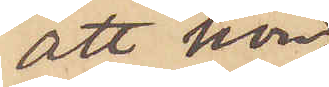att hon,
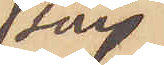som
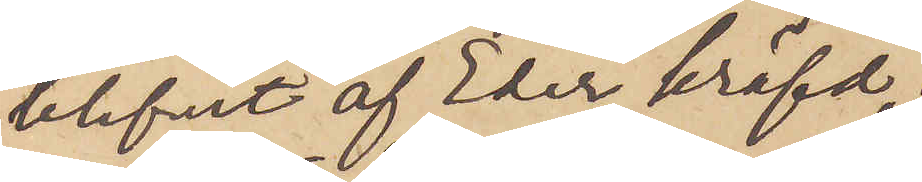blifvit af Eder kräfd,
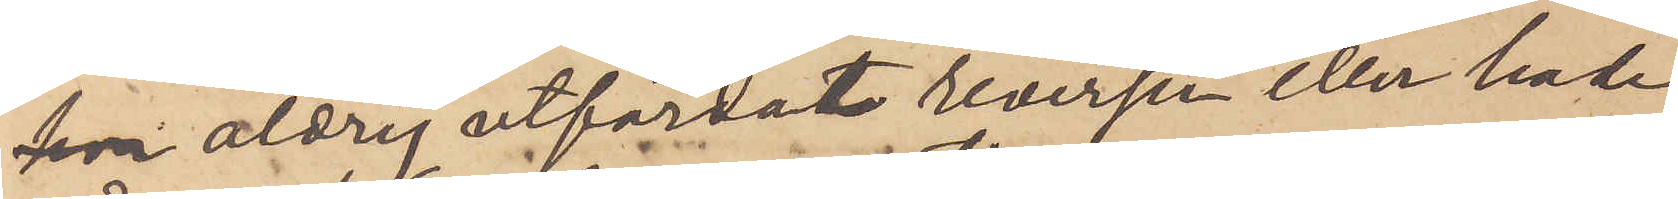 aldrig utfärdat reversen eller hade
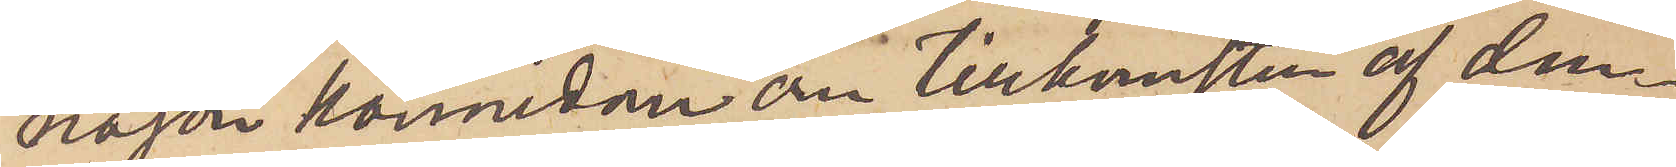någon kännedom om tillkomsten af den¬
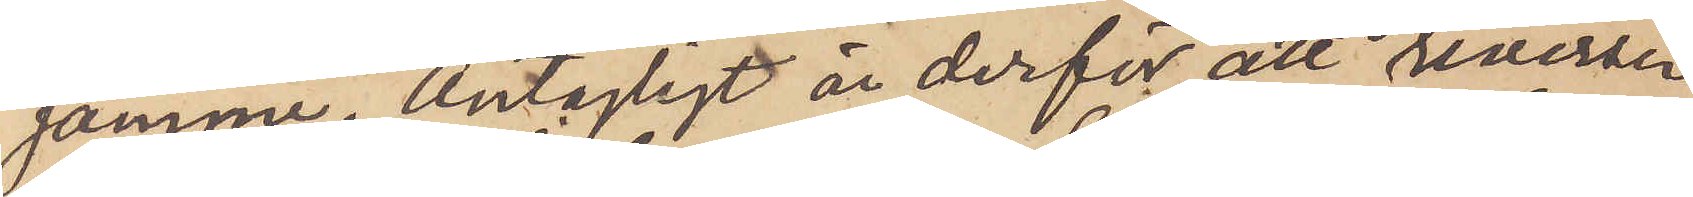samme. Antagligt är derför att reversen
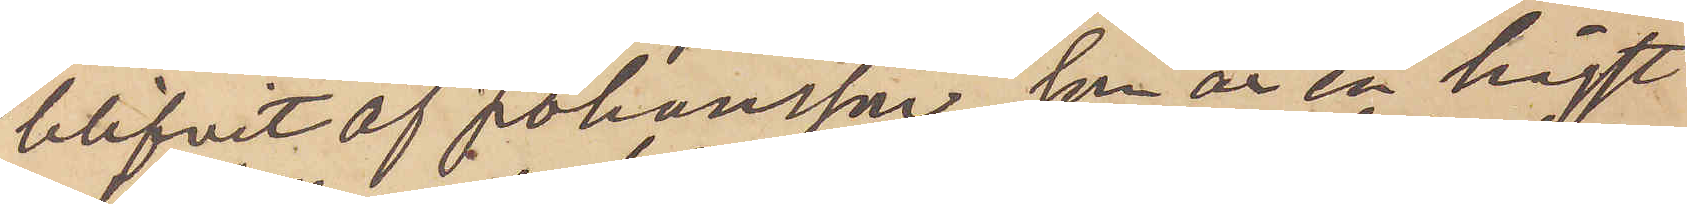blifvit af Johansson, som är en högst
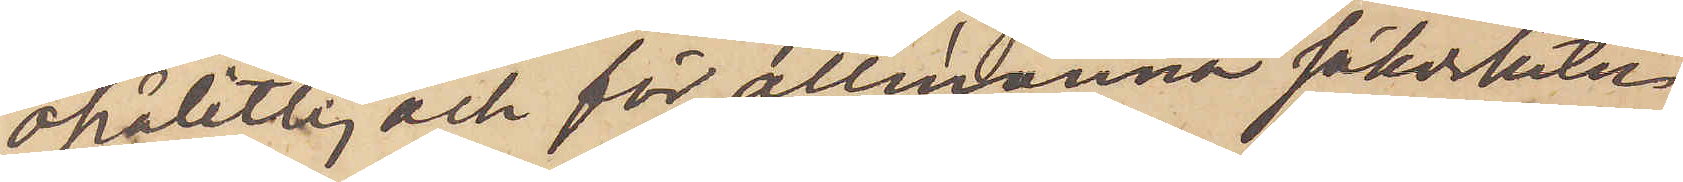opålitlig och för allmänna säkerheten
